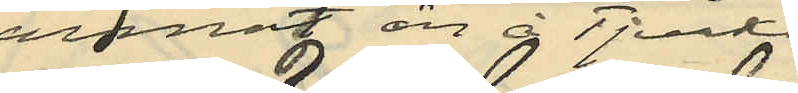annat än å Tjurkö
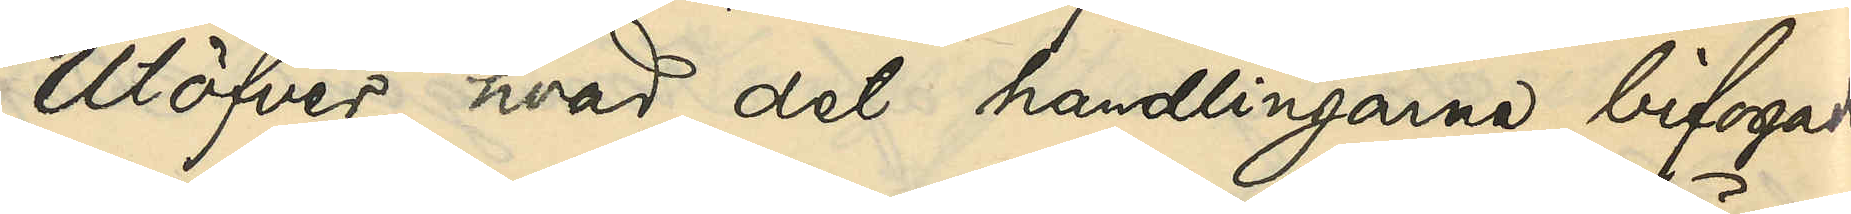Utöfver, hvad det handlingarne bifogade
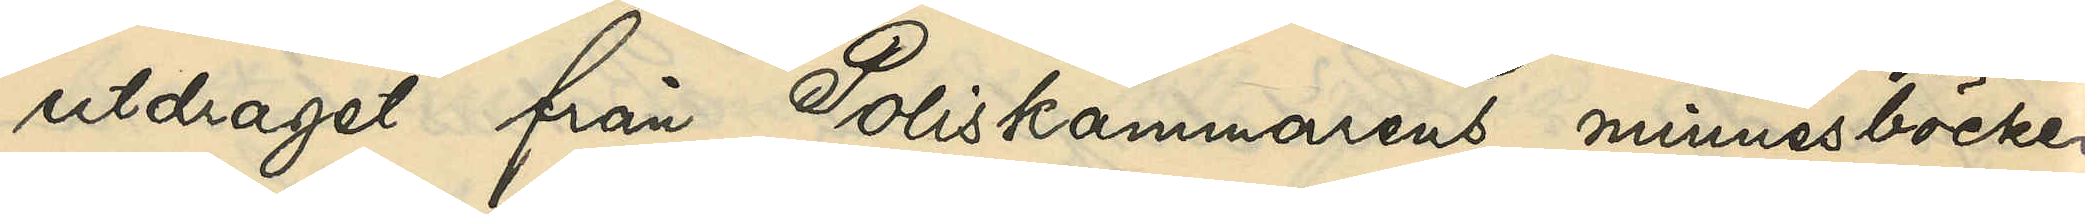utdraget från Poliskammarens minnesböcker
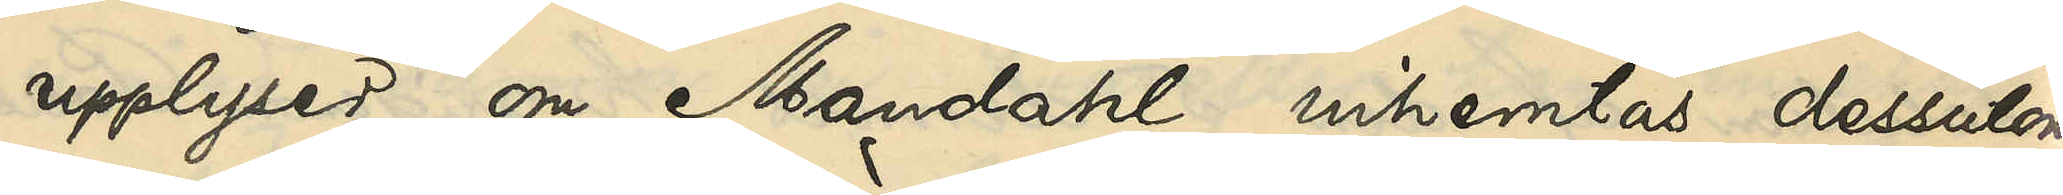upplyser om Mandahl inhemtas dessutom
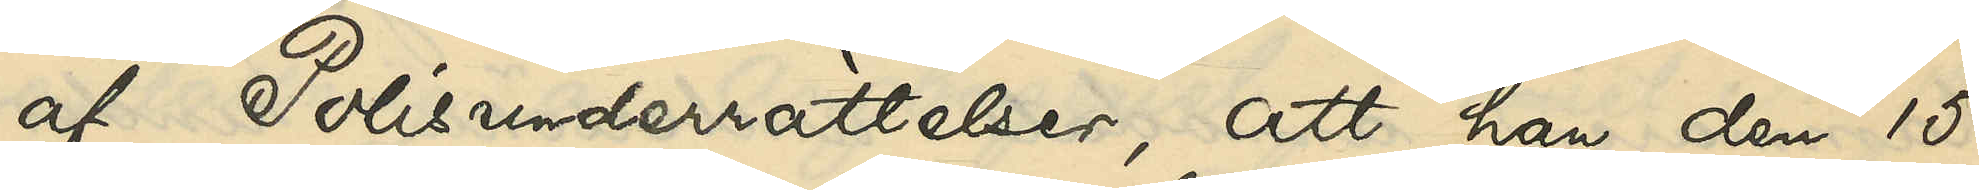af Polisunderrättelser, att han den 15
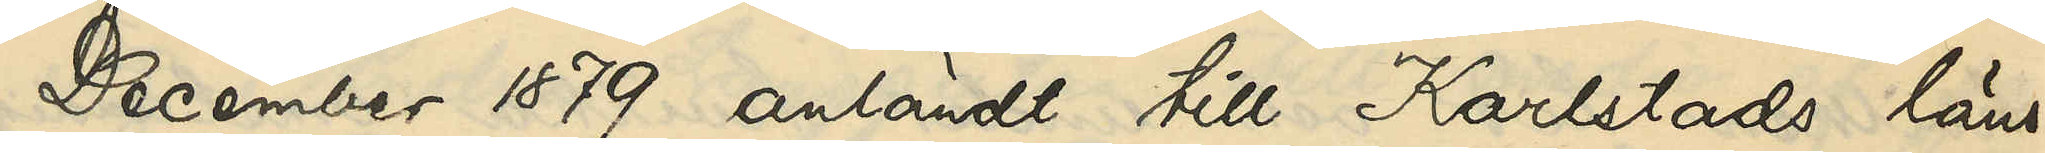December 1879 anländt till Karlstads läns¬
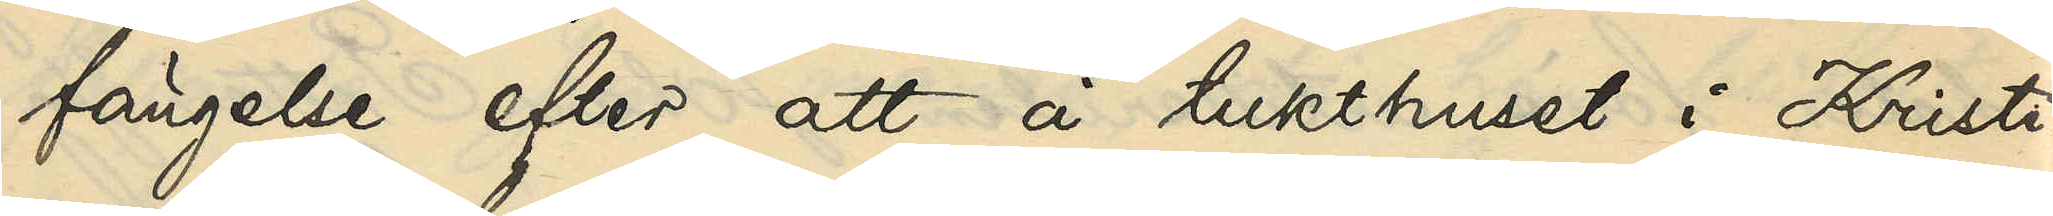fängelse efter att å tukthuset i Kristi¬
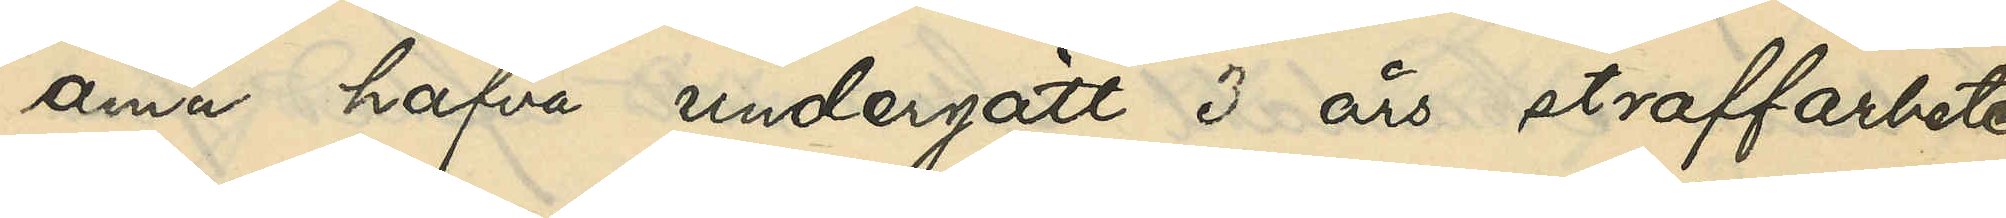ania hafva undergått 3 års straffarbete
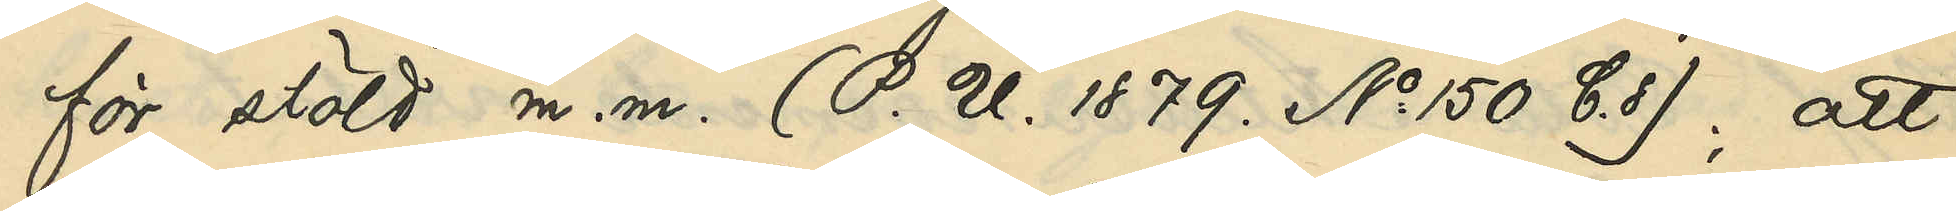för stöld m. m. (P. U. 1879 No 150 C. 8); att
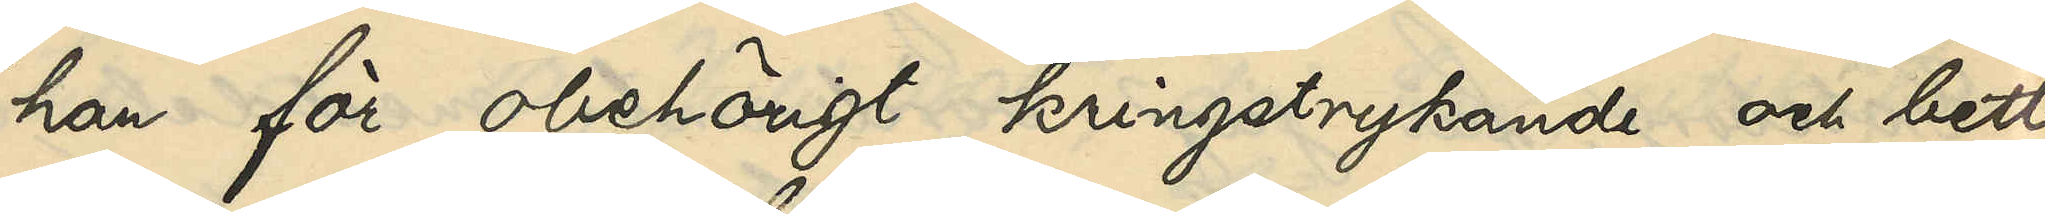han för obehörigt kringstrykande och bett¬
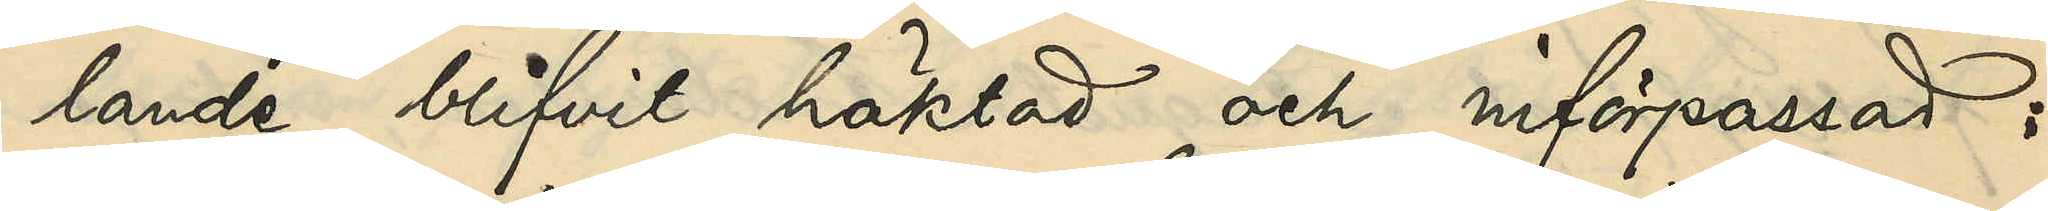lande blifvit häktad och införpassad:
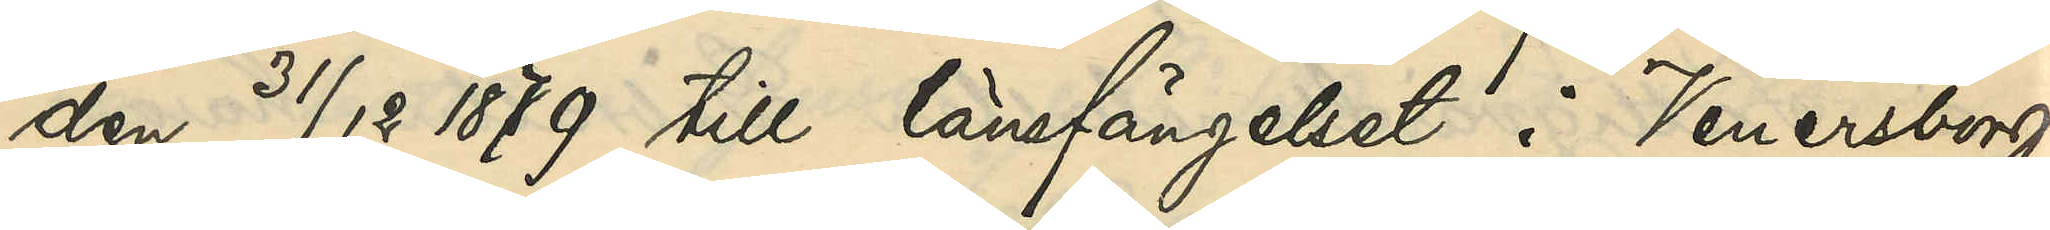den 31/12 1879 till länsfängelset i Venersborg
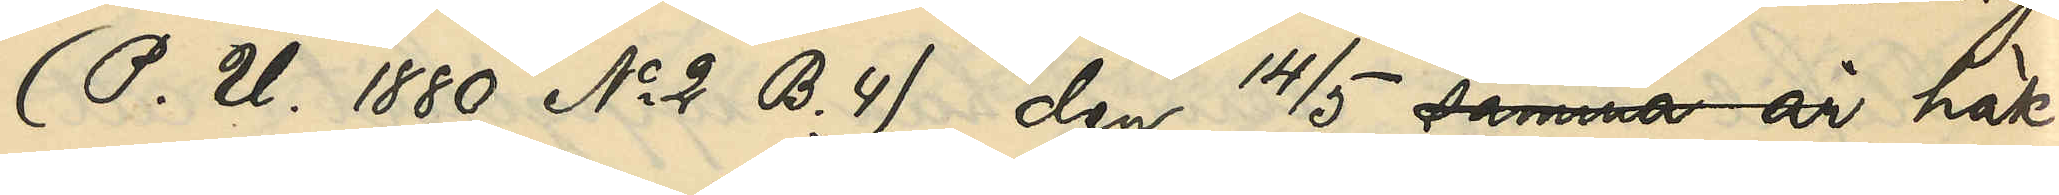(P. U. 1880 No 2 B. 4), den 14/5 1880 häk¬
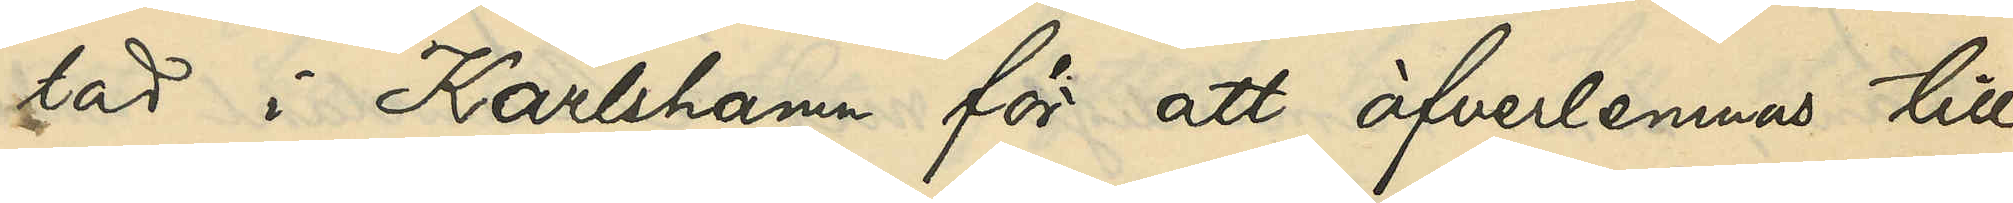tad i Karlshamn för att öfverlemnas till
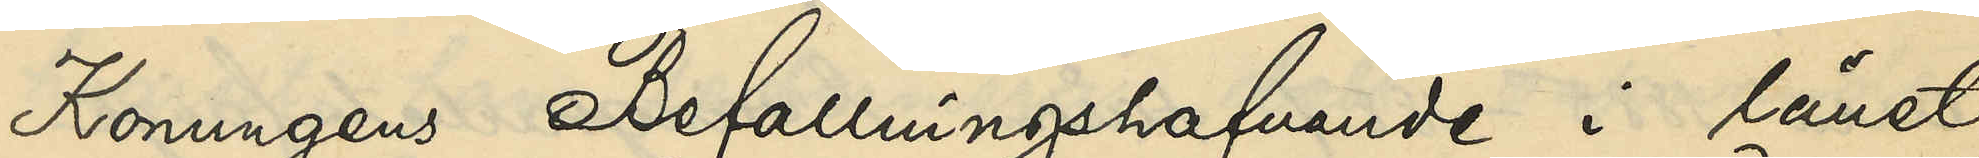Konungens Befallningshafvande i länet
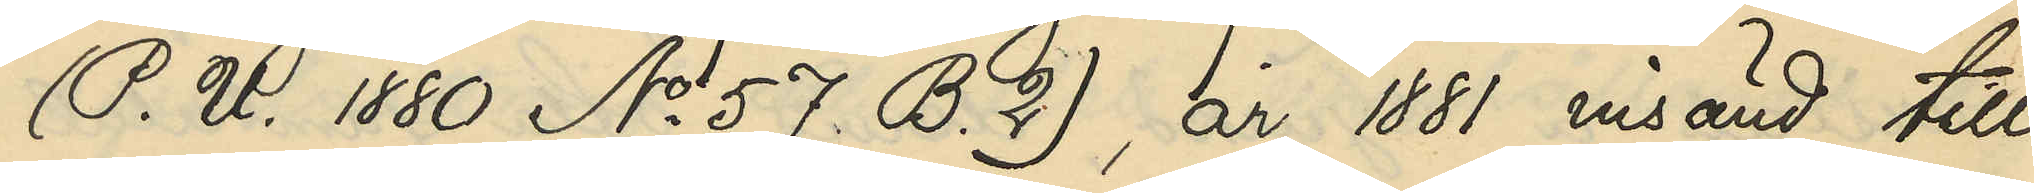(P. U. 1880 No 57 B. 2), år 1881 insänd till
